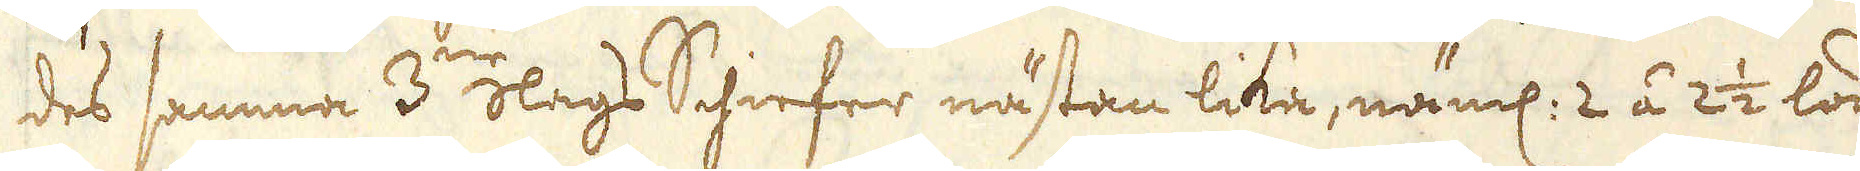des samma 3:ne slags Schiefer nästan lika, näml: 2 á 2 1/2 lod
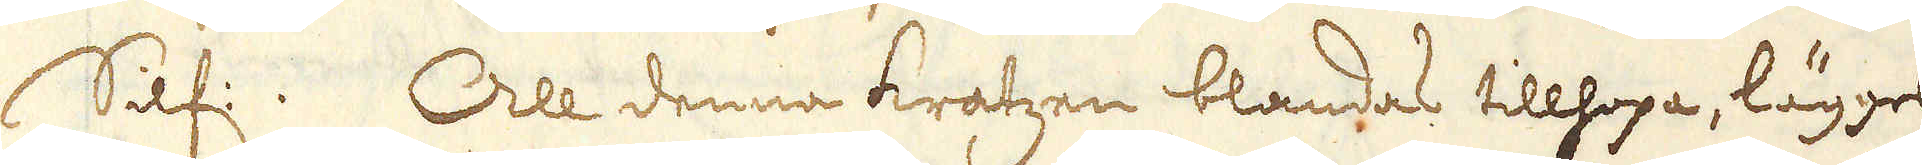Silf:. All denna kratzen blandas tillhopa, lägges
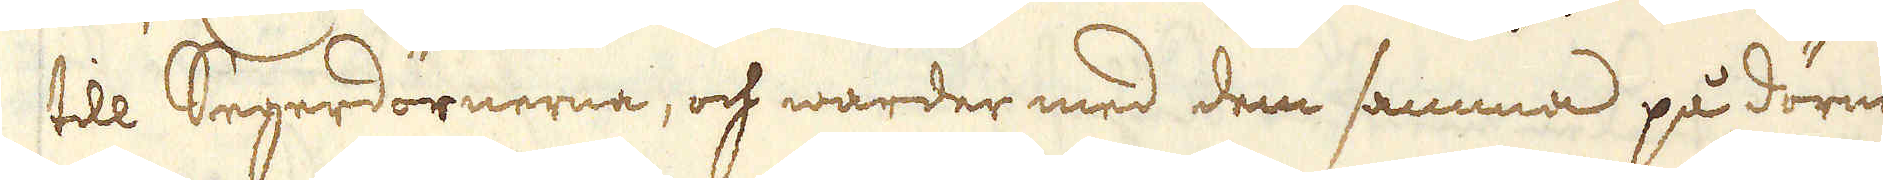till Segerdörnerna, och warder med dem samma på dörner-
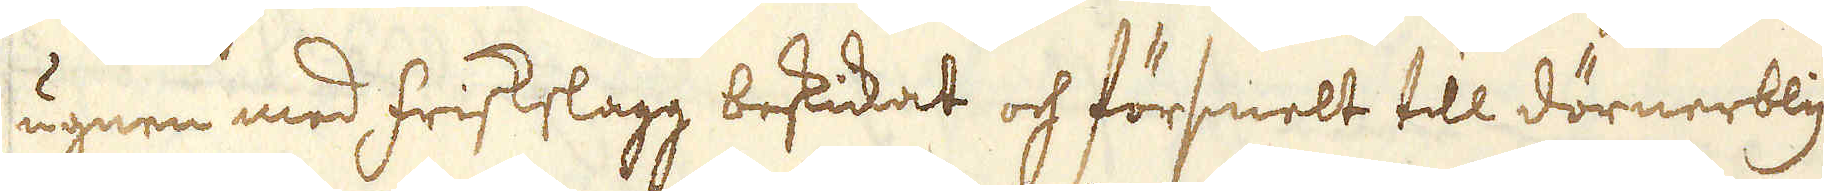ugnen med friskslagg beskickat och försmelt till dörnerbly.
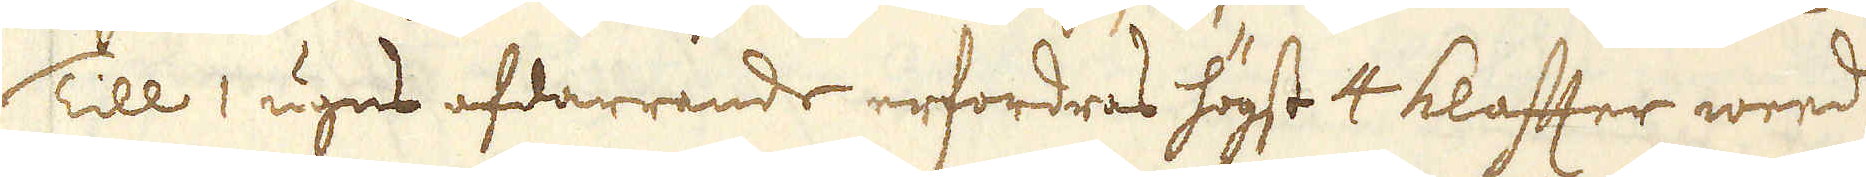Till 1 ugns afdarrande erfordras högst 4 klaftter weed, och
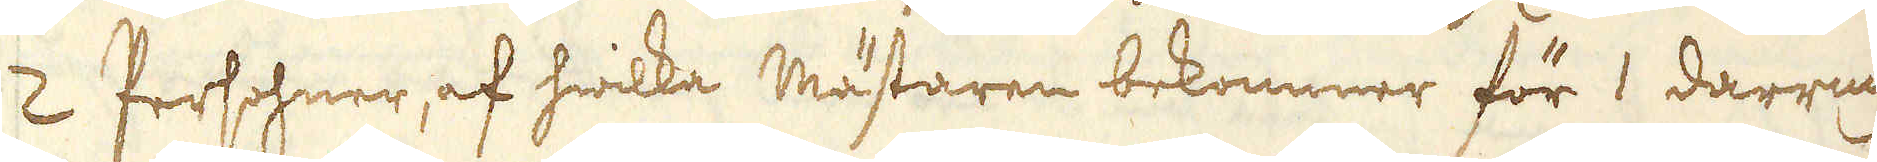2 Persohner, af hwilka mästaren bekommer för 1 darrning
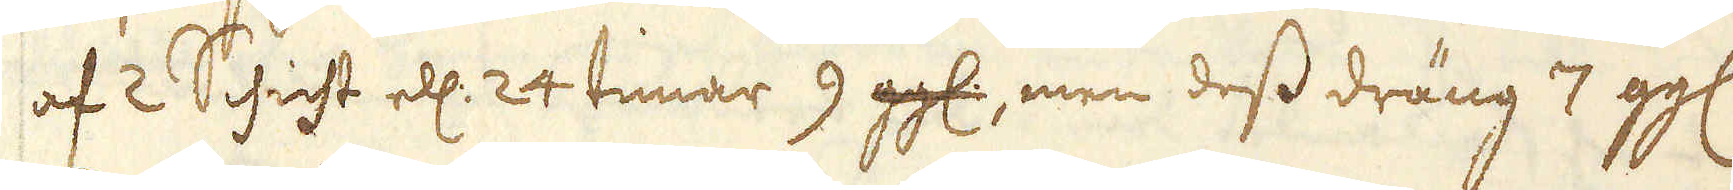af 2 Schicht ell: 24 timar 9 ggl:, men dess dräng 7 ggl.
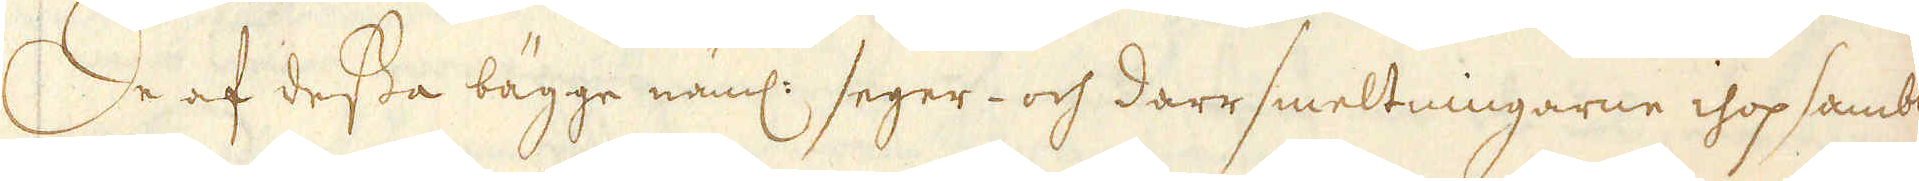De af dessa bägge näml: seger- och darr smeltningarne ihop sambla-
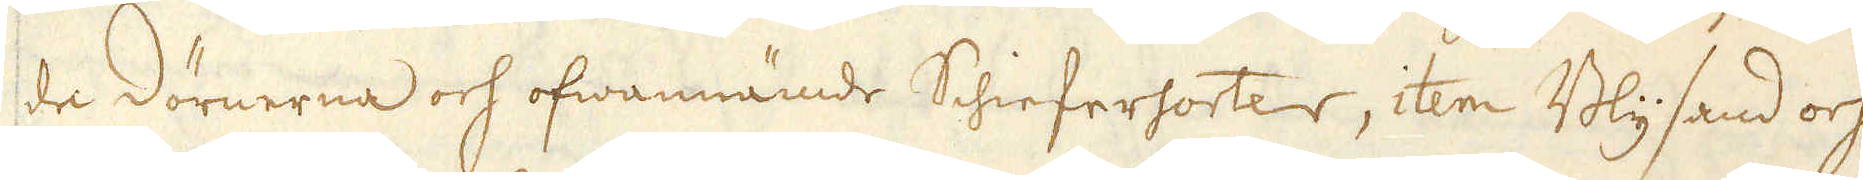de dörnerna och ofwannämde Schiefersortar, item Blysand och
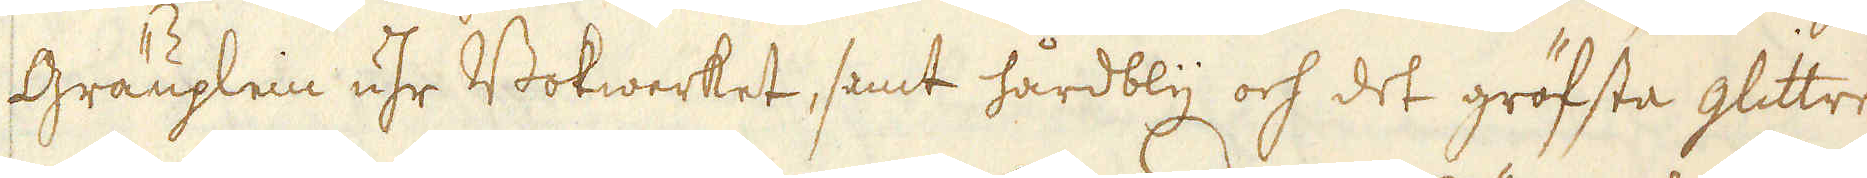Gräuplein uhr Bokwerket, samt hårdbly och det gröfsta glittret
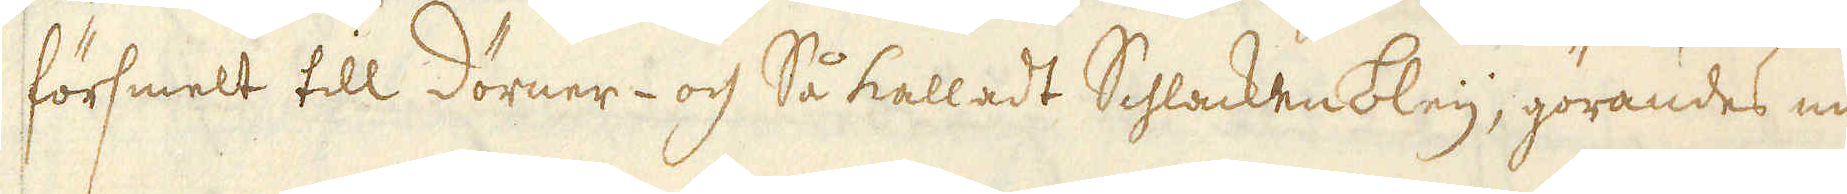försmelt till dörner- och Så kalladt Schlackenbley, görandes man
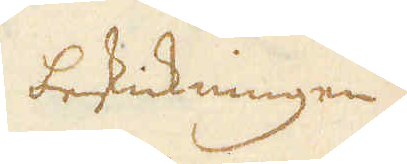betickning
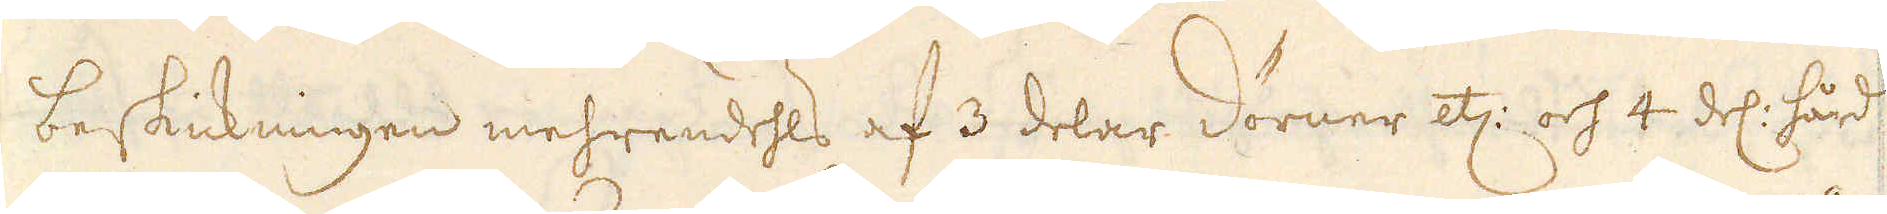beskickningen mehrendels af 3 delar dörner etc: och 4 del: hård-
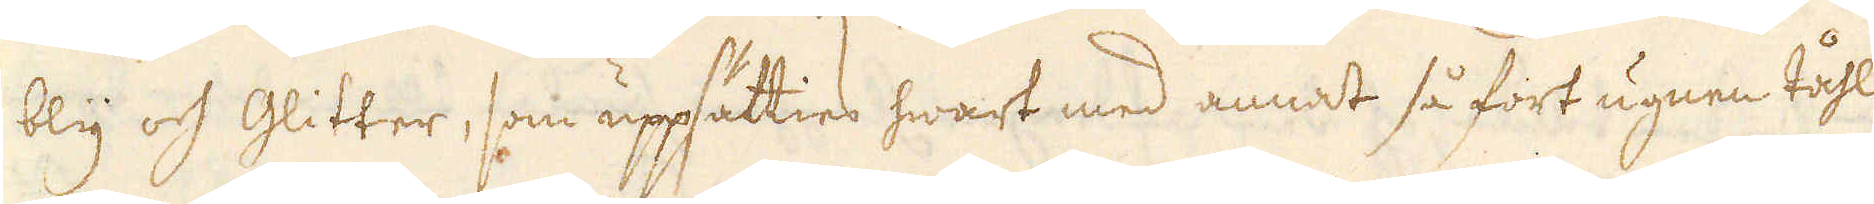bly och Glitter, som uppsätties hwart med annat så fort ugnen tåhl
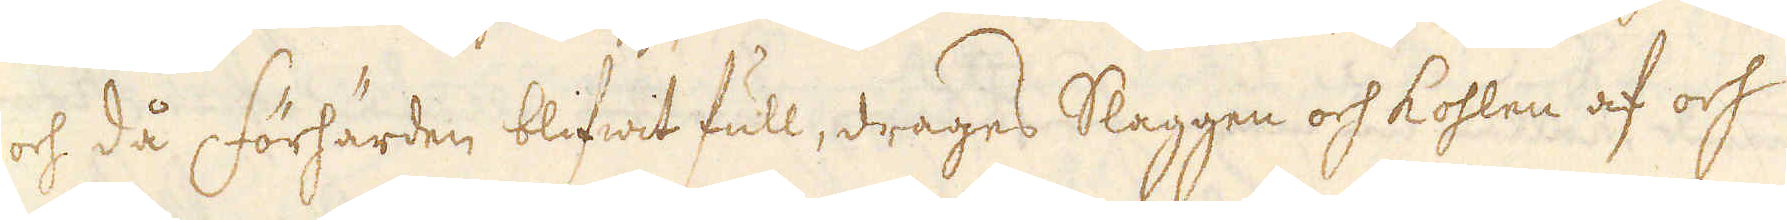och då förhärden blifwit full, drages Slaggen och Kohlen af och
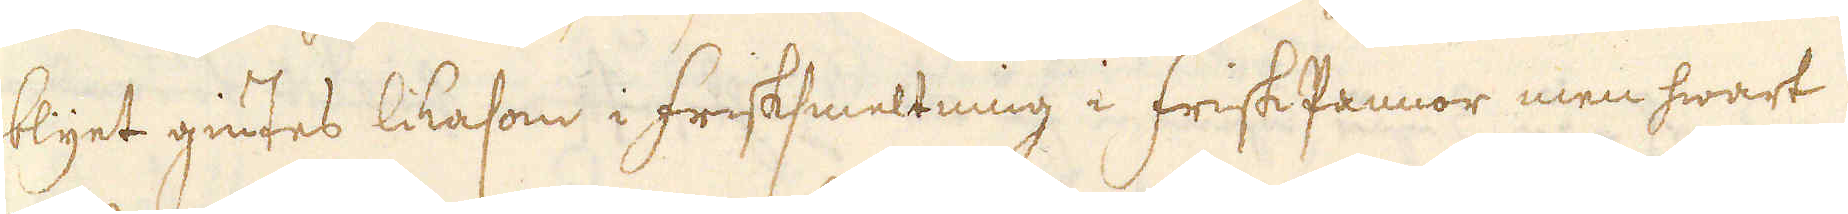blyet giutes likasom i frisksweltning i frisk Pannor men hwart
